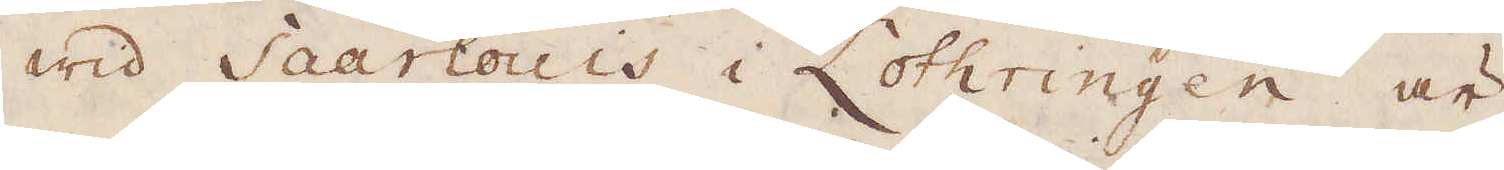wid Saarlouis i Lothringen är
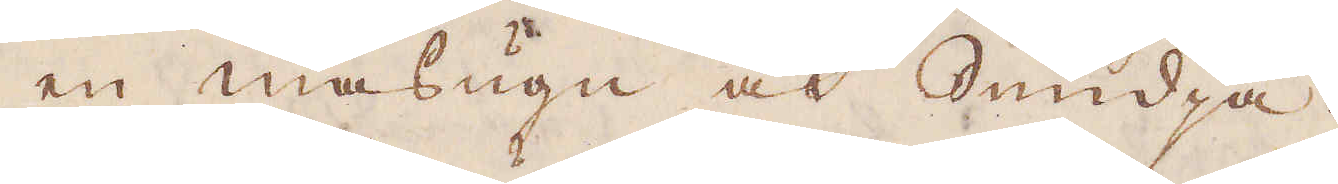en masugn och Smidja.
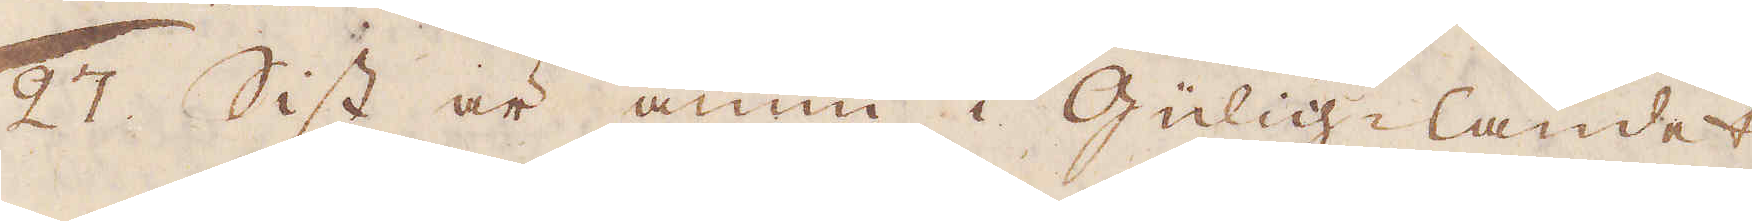27. Sist är ännu i Gülig-landet
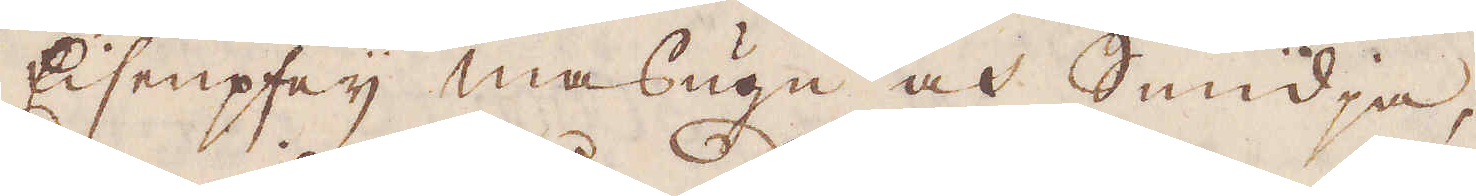Eisenpfey masugn och Smidja,
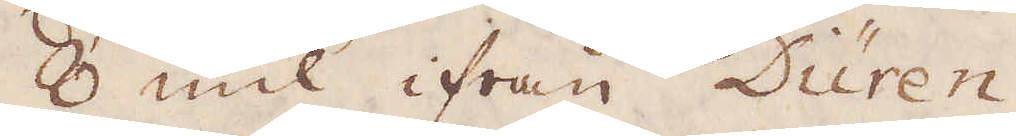8 mil ifrån Düren.
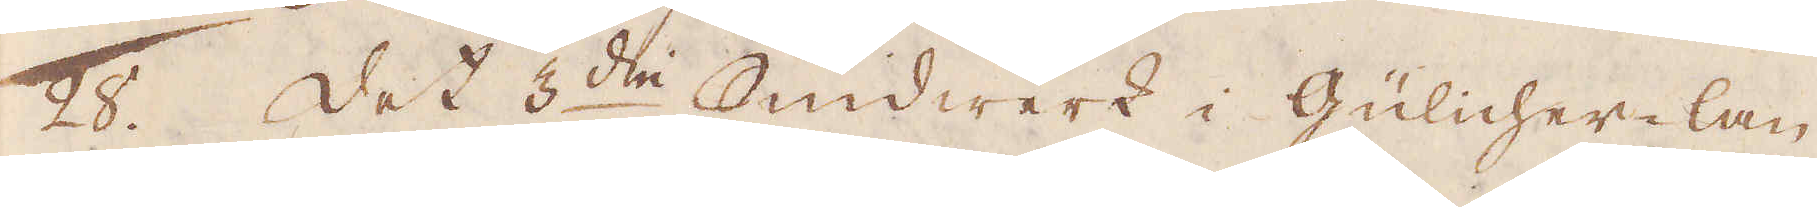28. Det 3:die Smidwerk i Gülicher-lan-
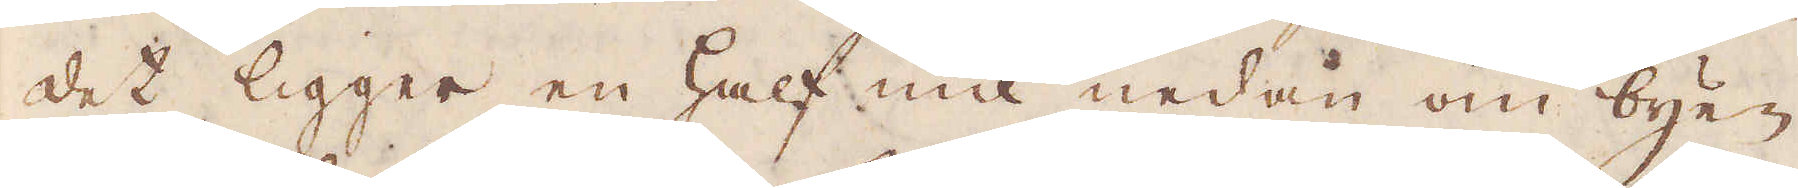det ligger en half mil nedan om byen
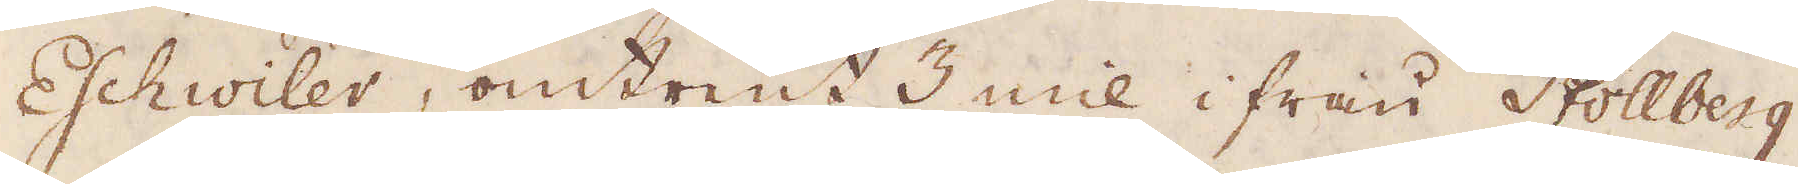Eschwiler, omtrent 3 mil ifrån Stollberg,
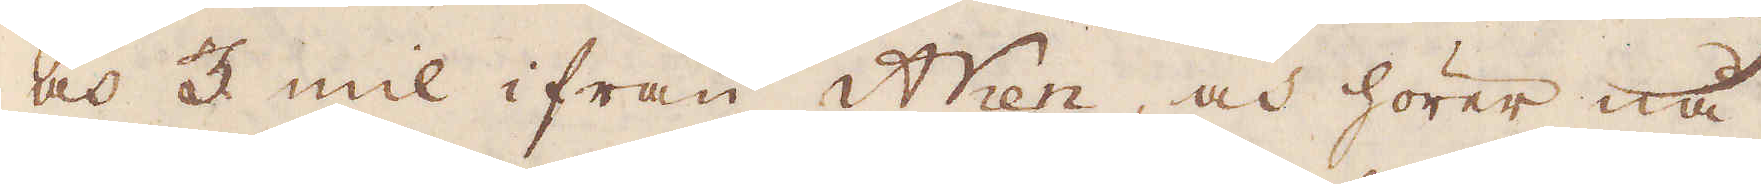och 3 mil ifrån Aken, och hörer nå-
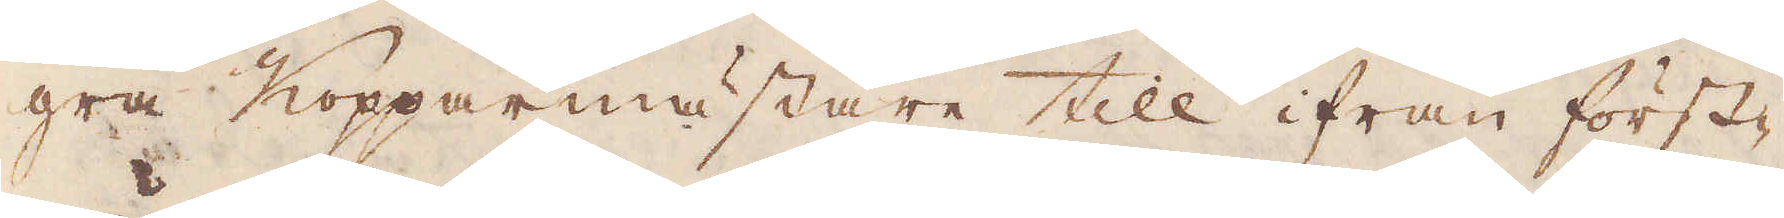gra Kopparmästare till ifrån först-
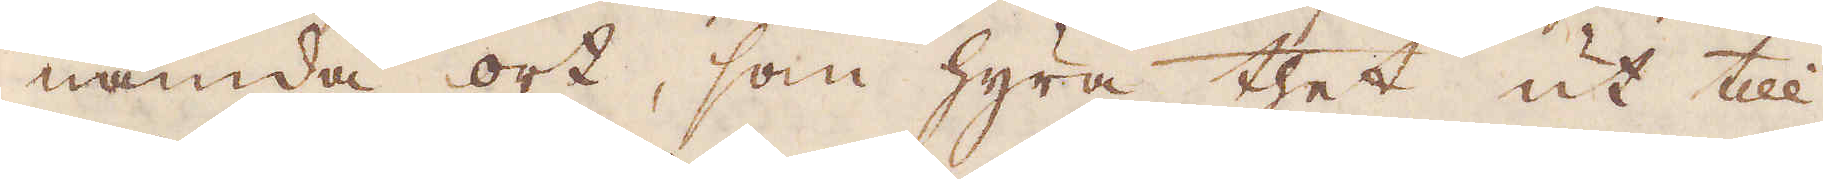nämda ort, som hyra thet ut till
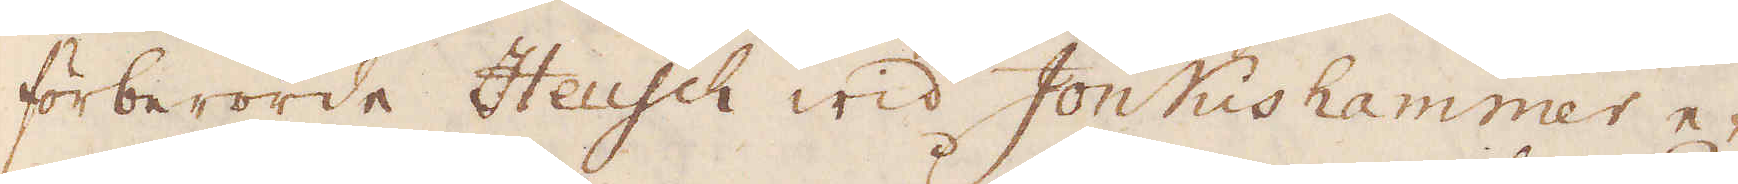förberörde Heusch wid Jonkishammer e-
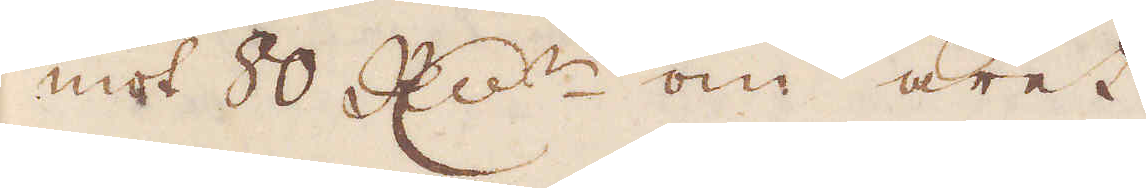mot 80 R:dr om året.
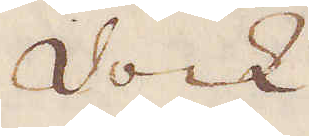Dock
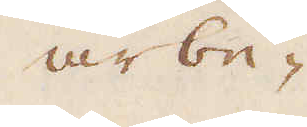arbe-
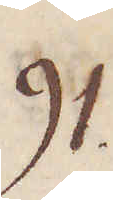91.
